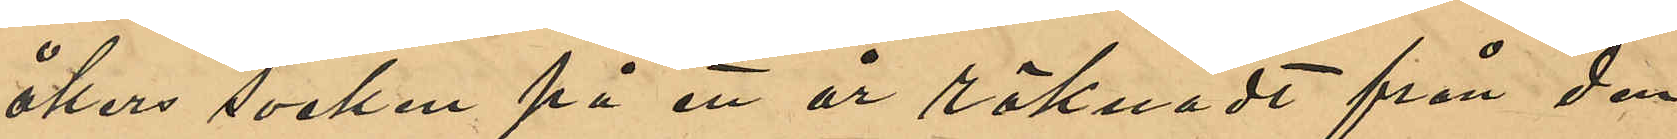åkers socken på ett år räknadt från den
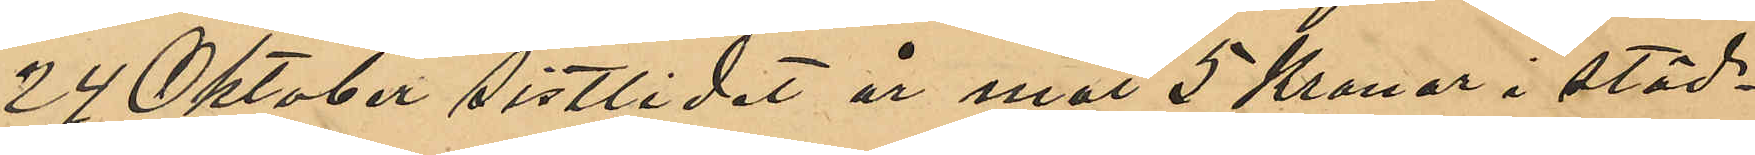24 Oktober sistlidet år mot 5 Kronor i städ¬
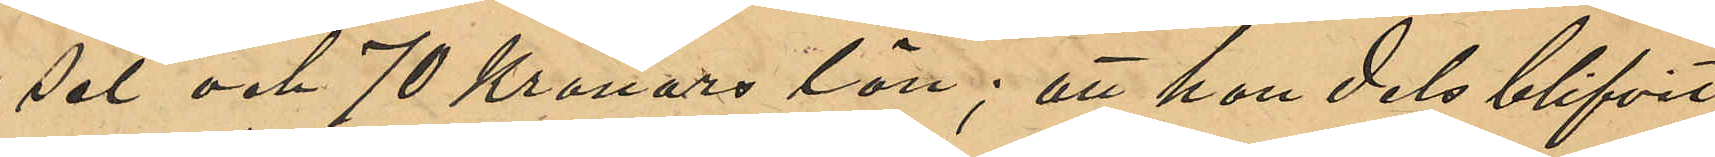sel och 70 Kronors lön; att hon dels blifvit
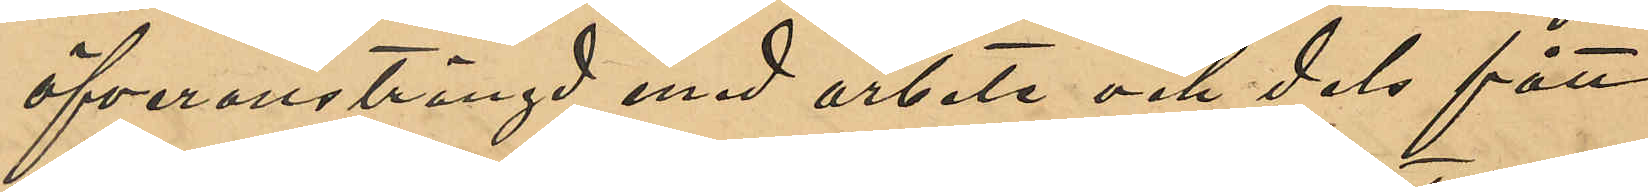öfveransträngd med arbete och dels fått
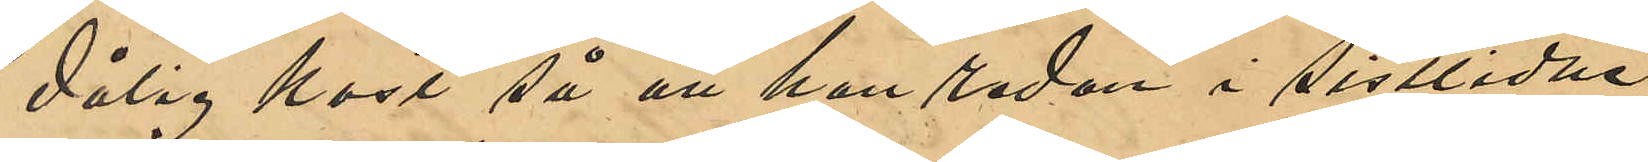dålig kost så att hon sedan sistlidna
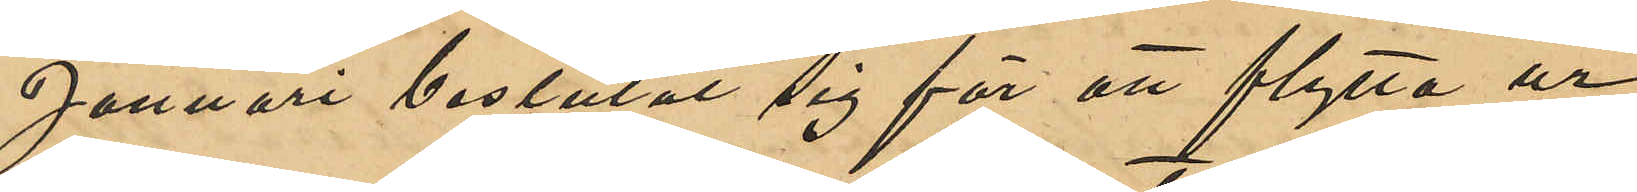Januari beslutat sig för att flytta ur
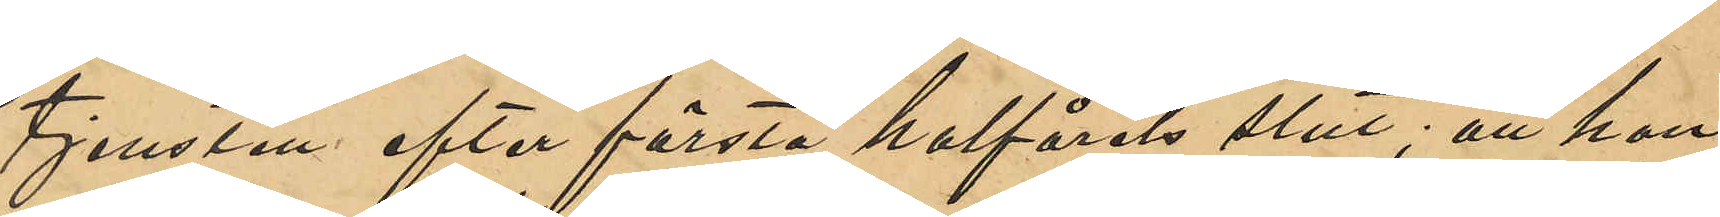tjensten efter första halfårets slut; att hon
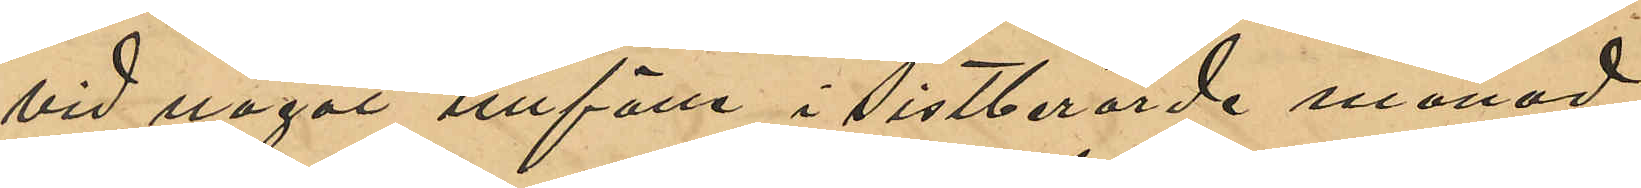vid något tillfälle i sistberörde månad
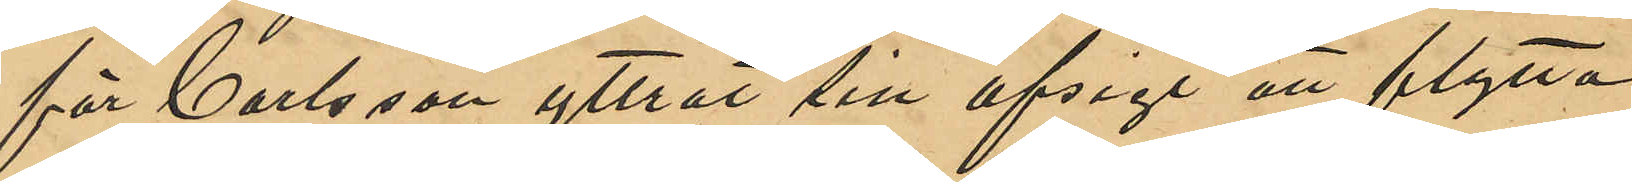för Carlsson yttrat sin afsigt att flytta
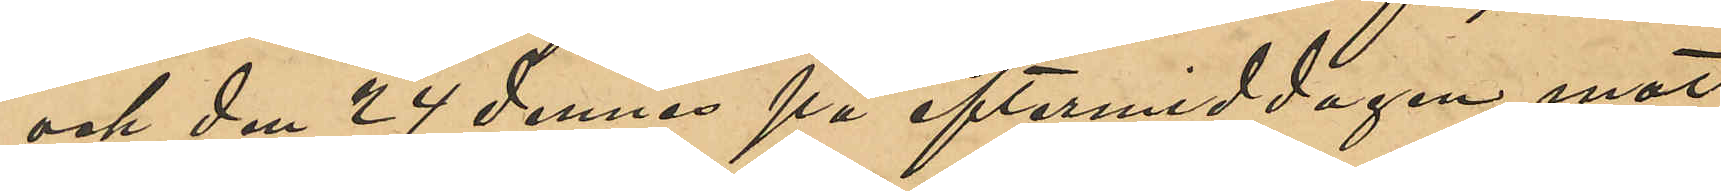och den 24 dennes på eftermiddagen mot
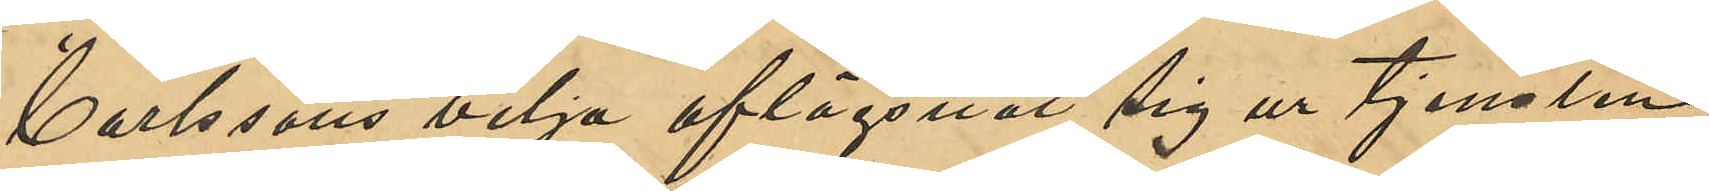Carlssons vilja aflägsnat sig ur tjensten;
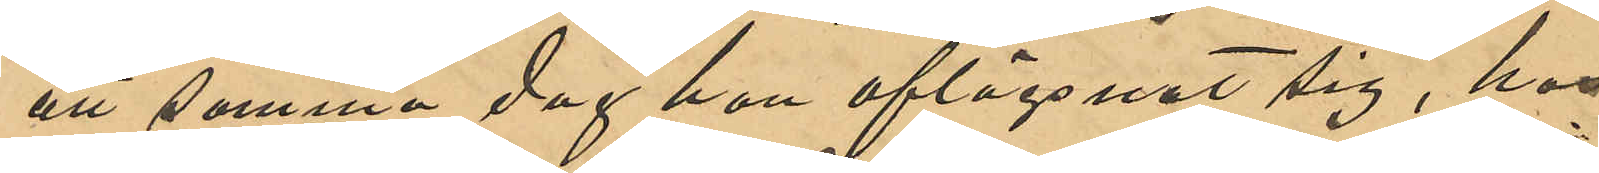att samma dag hon aflägsnat sig, hos
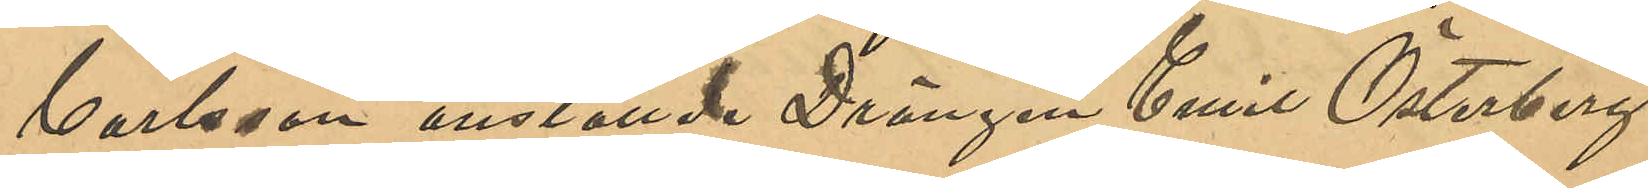Carlsson anstälde Drängen Emil Österberg
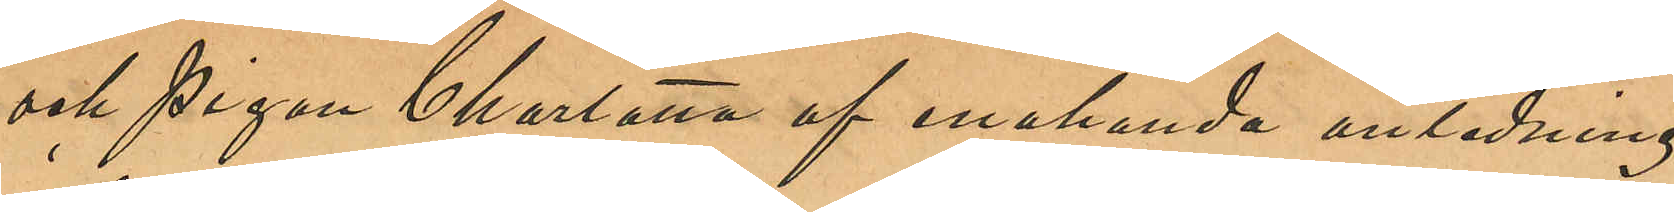och Pigan Charlotta af enahanda anledning
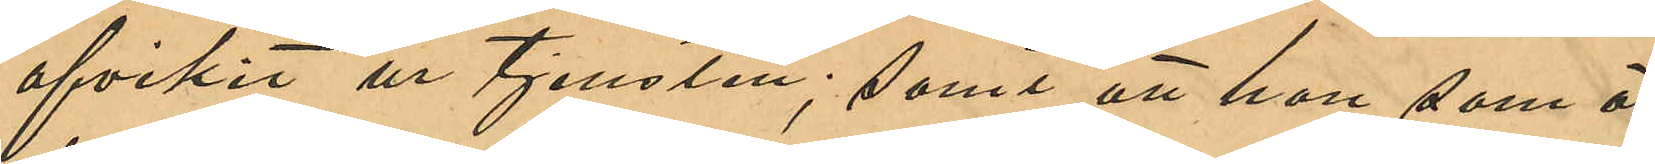afvikit ur tjensten; samt att hon som är
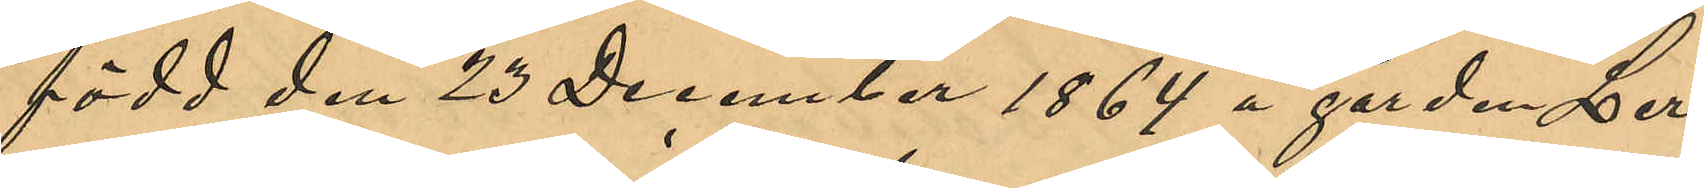född den 23 December 1864 å gården Ler¬
